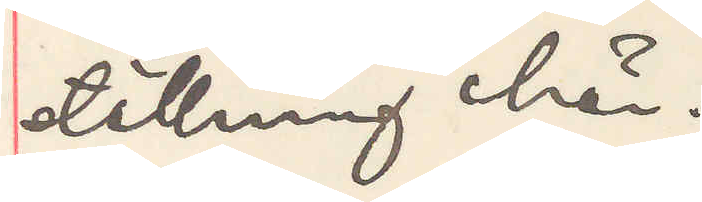ställning här.
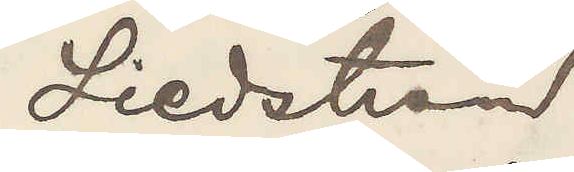Liedstrom
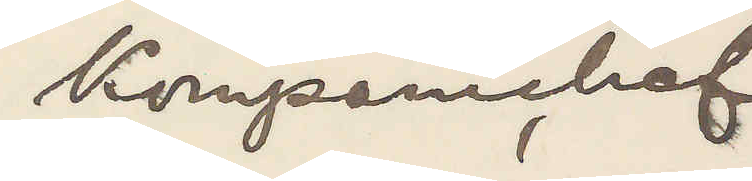Kompanichef
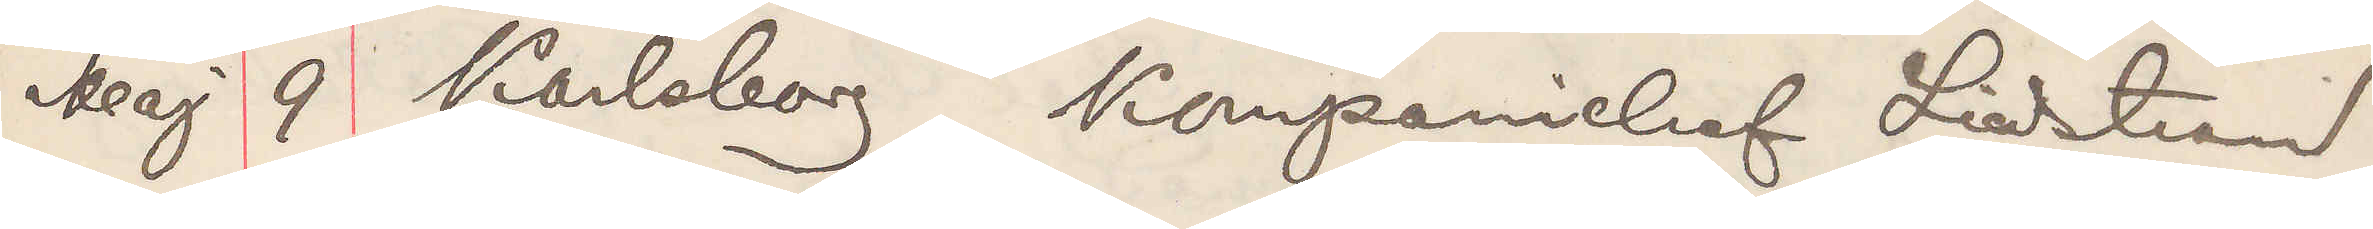Maj 9 Karlsborg Kompanichef Liedstrand
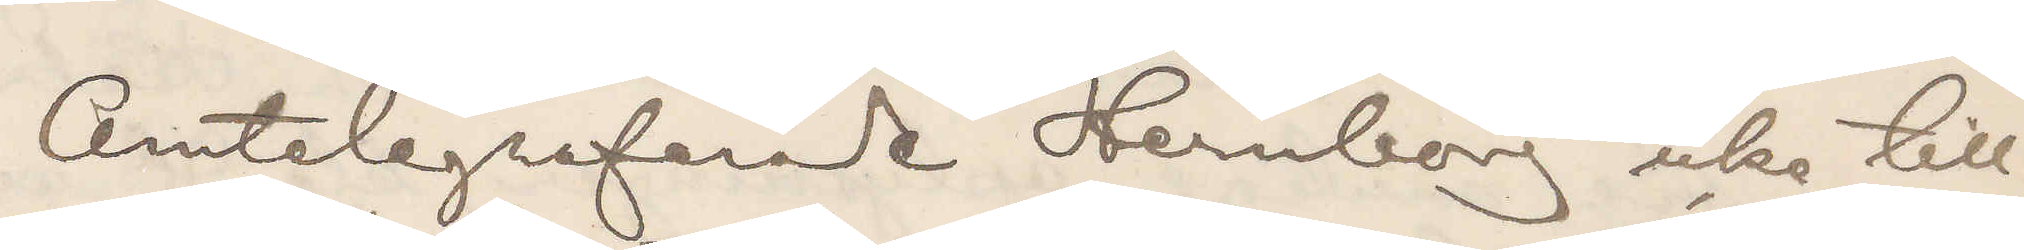Omtelegraferade Hernborg icke till¬
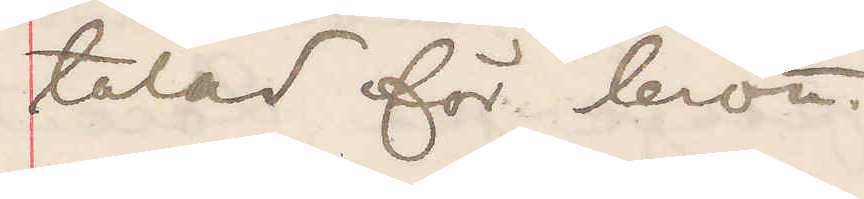talad för brott.
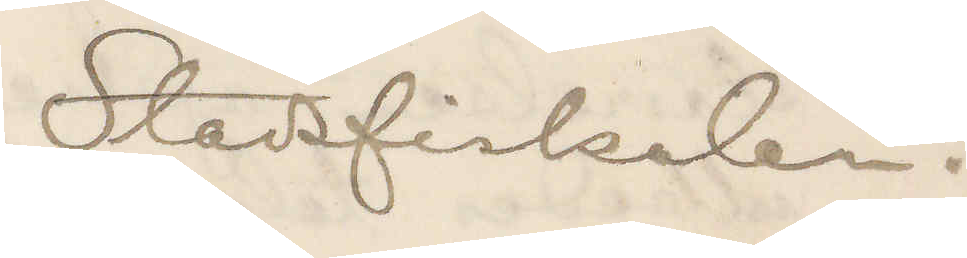Stadsfiskalen.
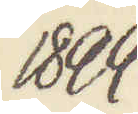1899
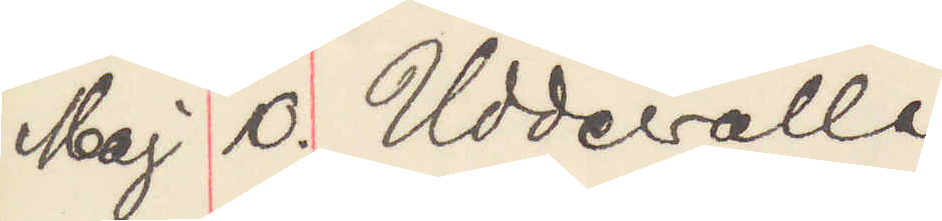Maj 10. Uddevalla
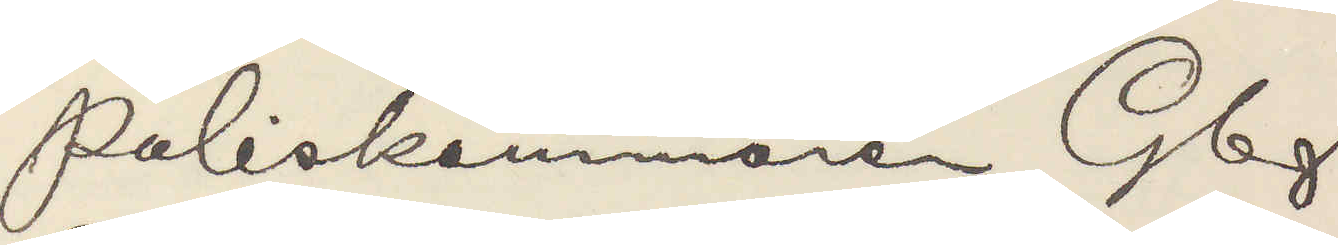Poliskammaren Gbg
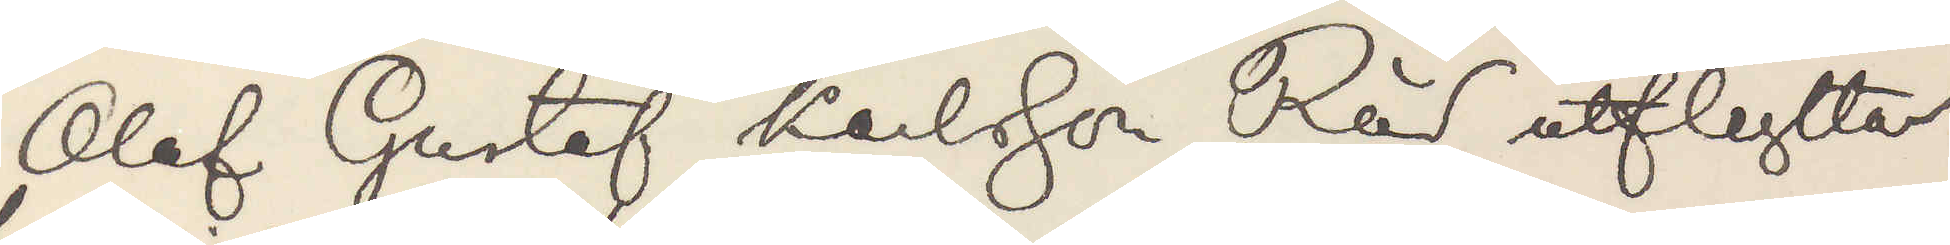Olof Gustaf Karlsson Röd utflyttar
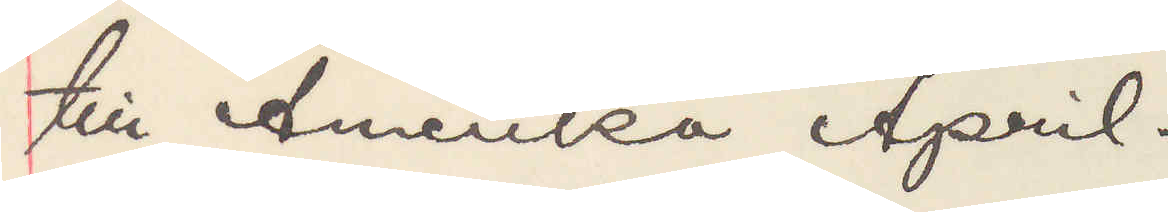till Amerika April.
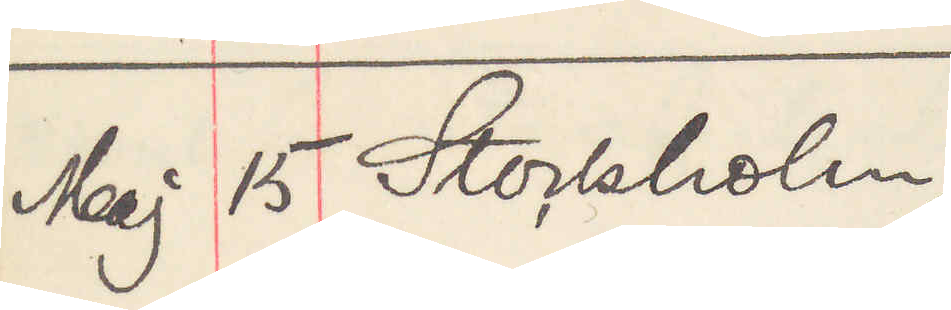Maj 15 Stockholm
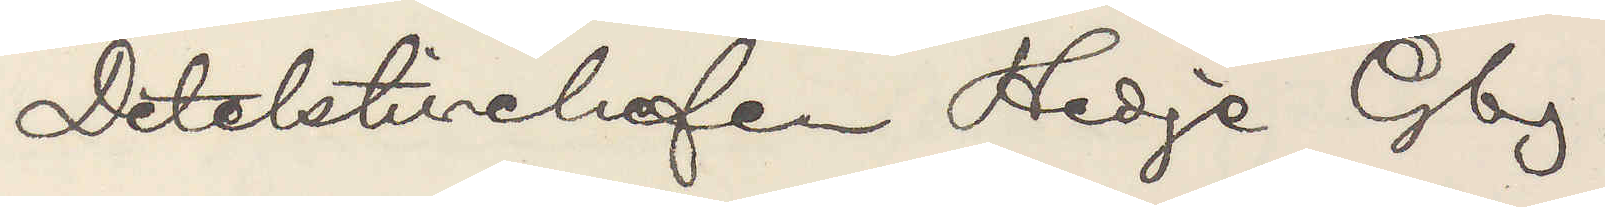Detektivchefen Hedge Gbg.
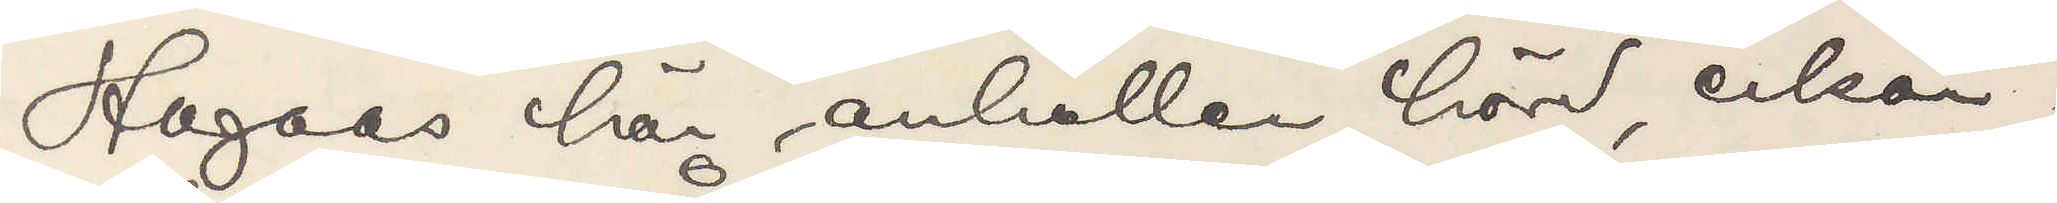Hagaas här anhållen, hörd, erkän¬
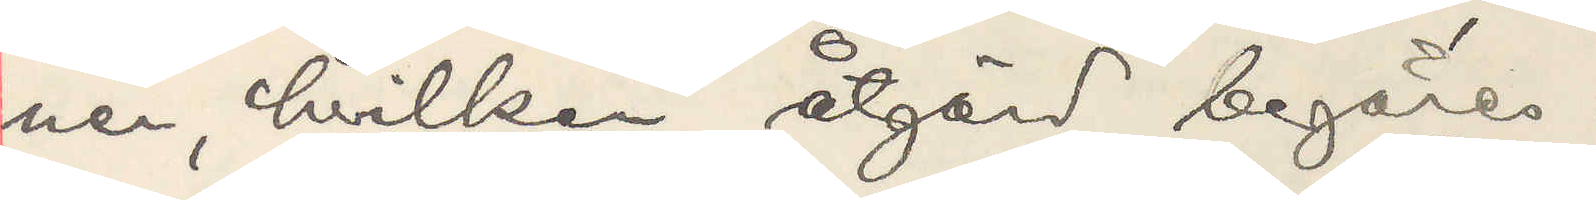ner, hvilken åtgärd begäres.
